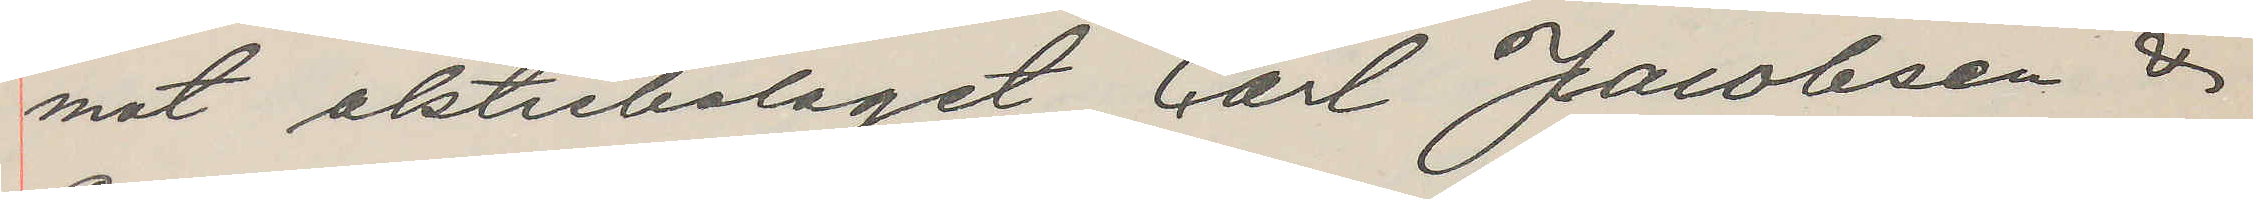mot aktiebolaget Carl Jacobsen &
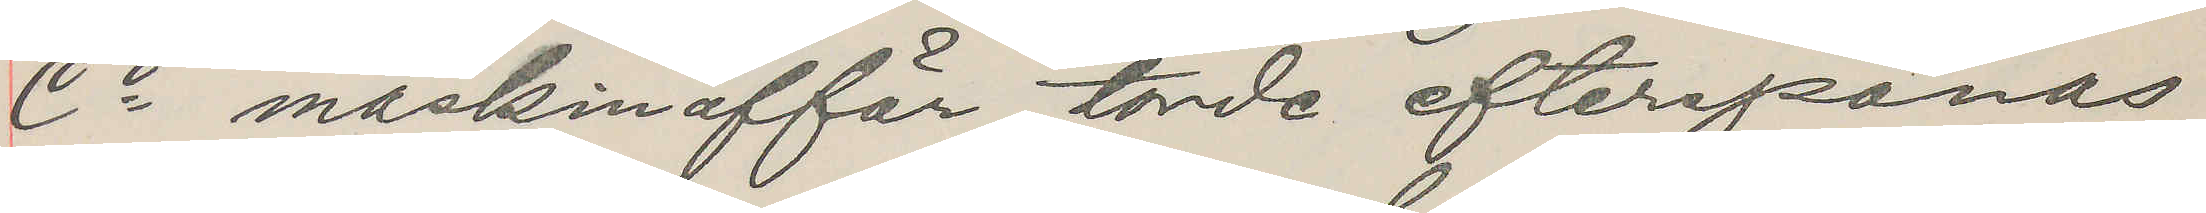Co maskinaffär, torde efterspanas
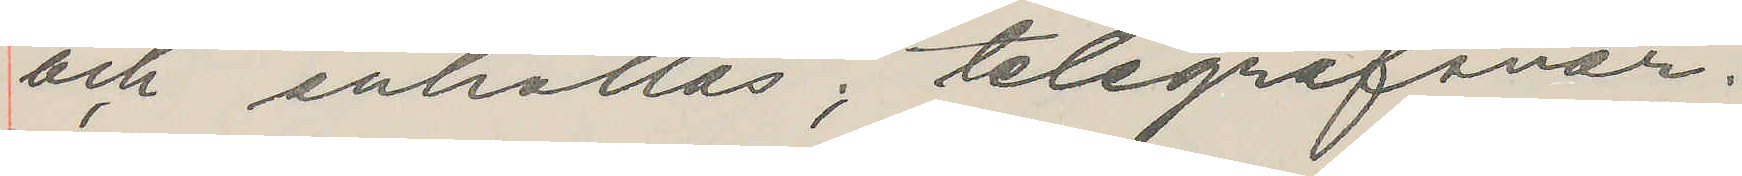och anhållas, telegrafsvar.
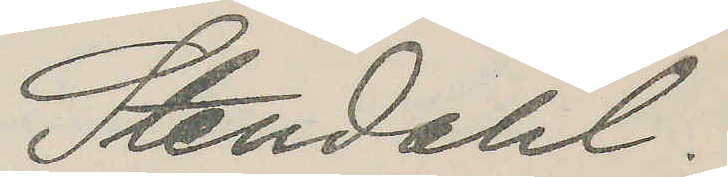Stendahl.
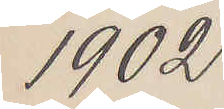1902
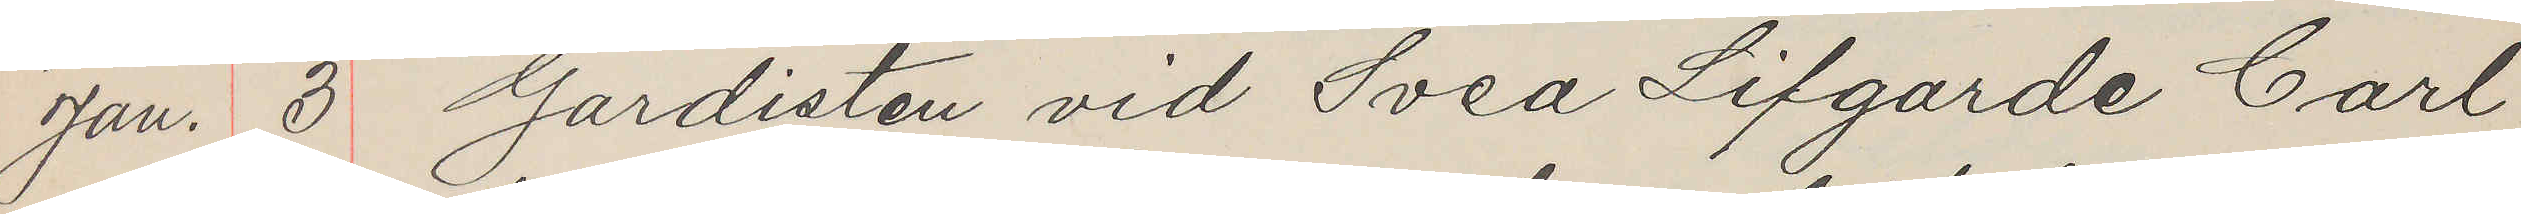Jan. 3 Gardisten vid Svea Lifgarde Carl
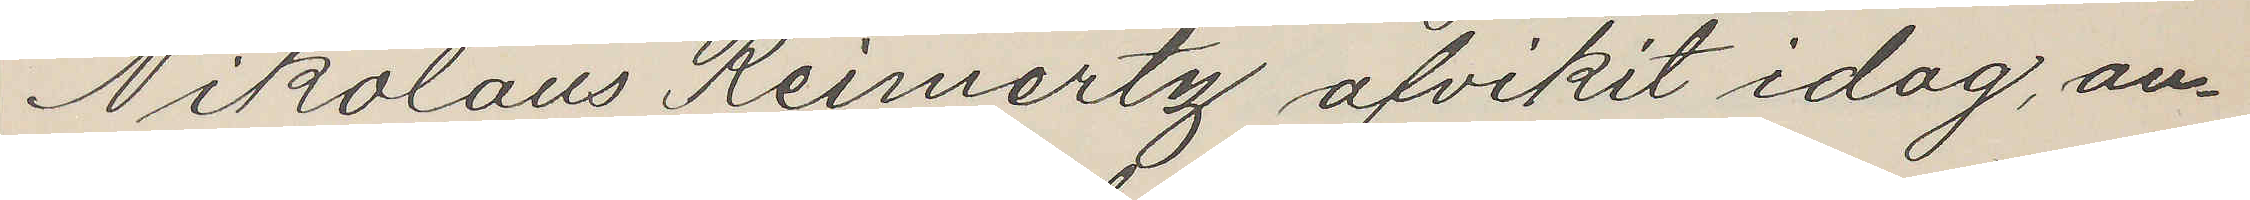Nikolaus Reimertz afvikit idag, an¬
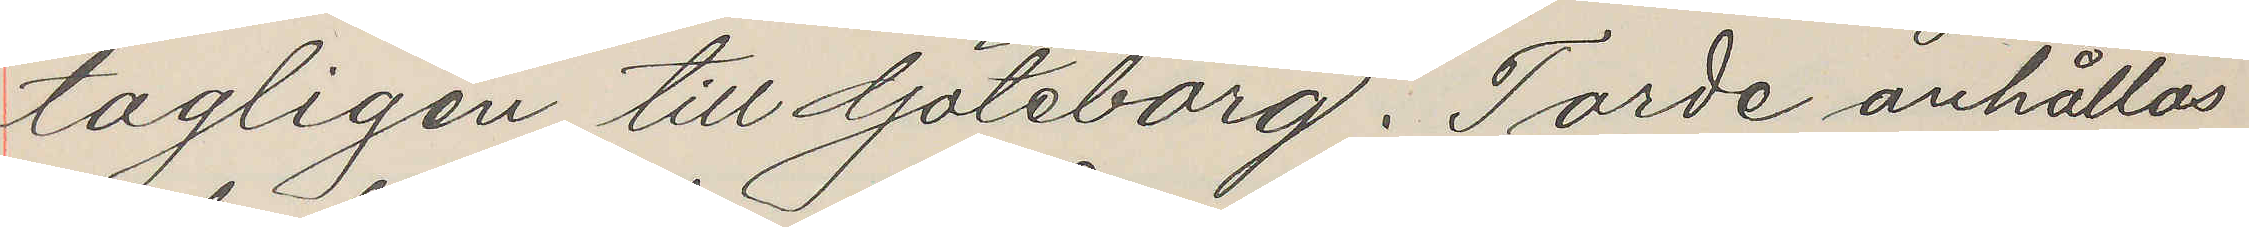tagligen till Göteborg. Torde anhållas
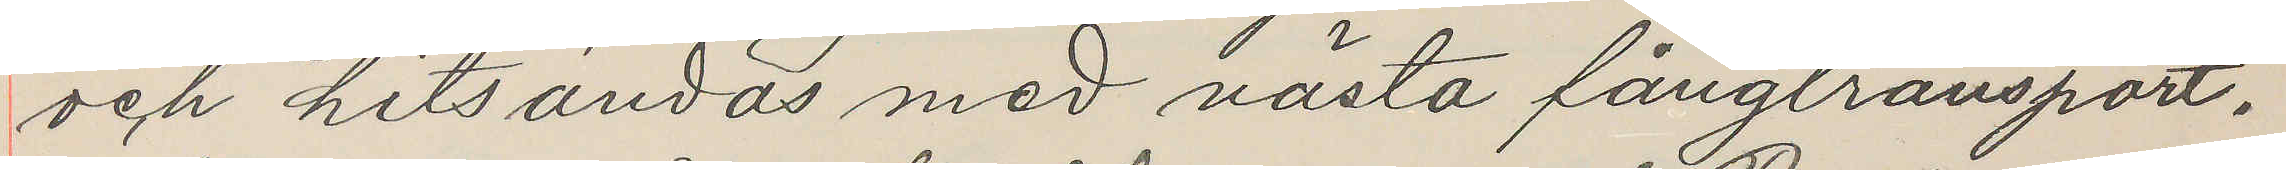och hitsändas med nästa fångtransport.
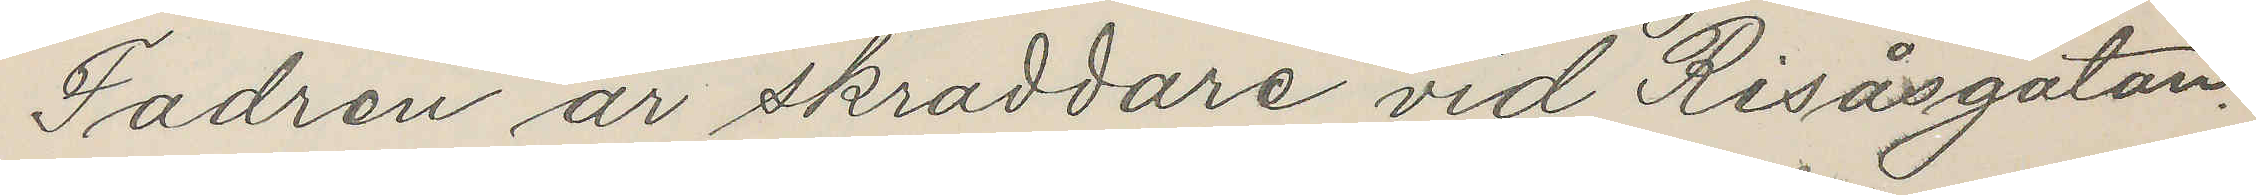Fadren är skräddare vid Risåsgatan.
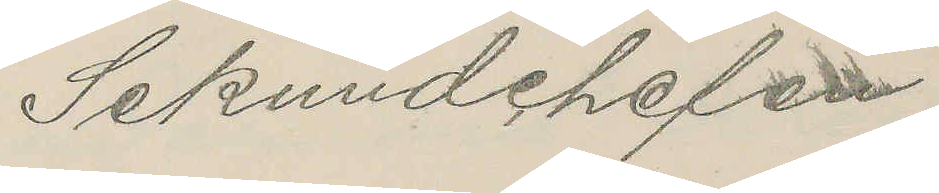Sekundchefen
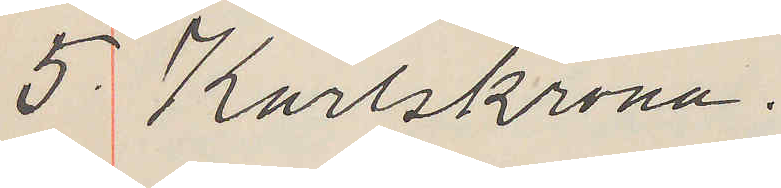5. Karlskrona.
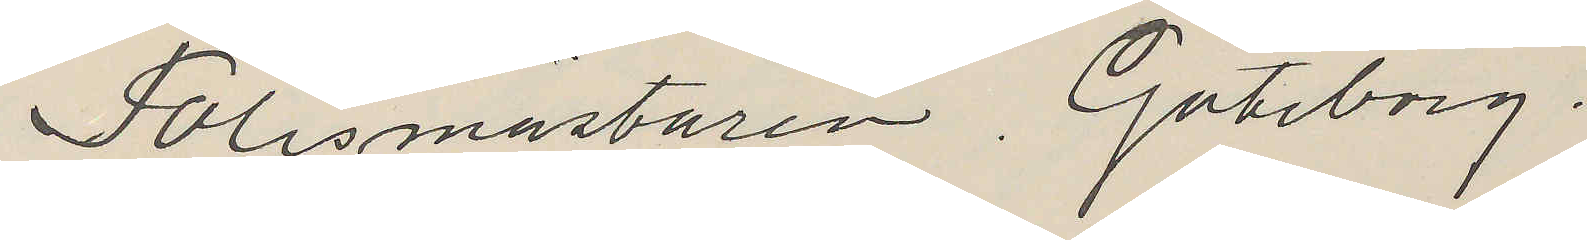Polismästaren Göteborg.
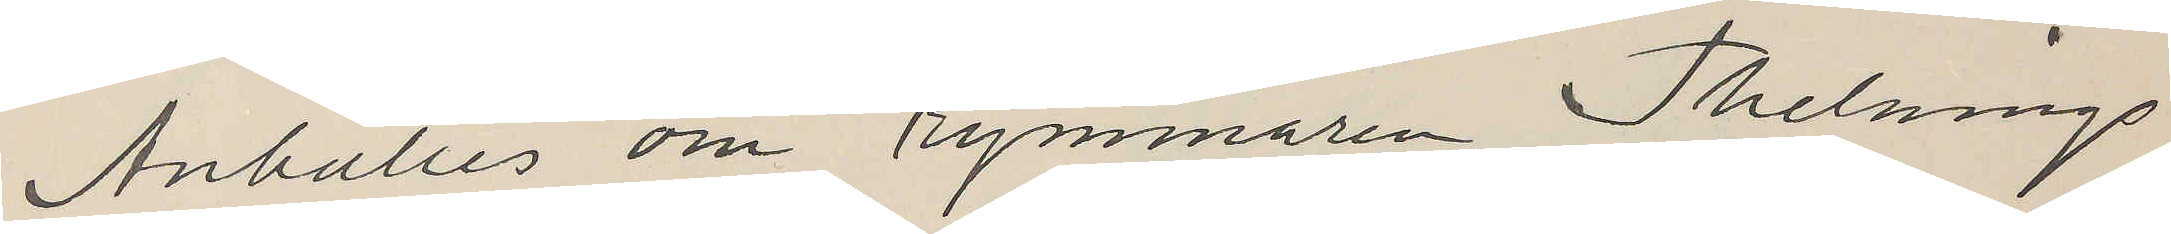Anhålles om rymmaren Thelnings
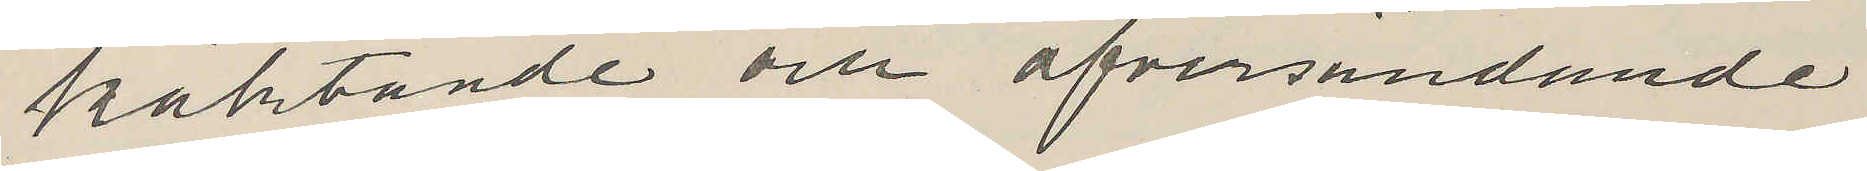häktande och öfversändande.
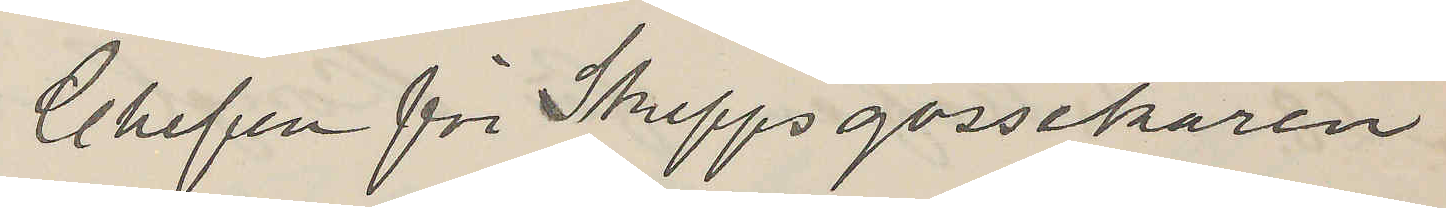Chefen för Skeppsgossekåren
